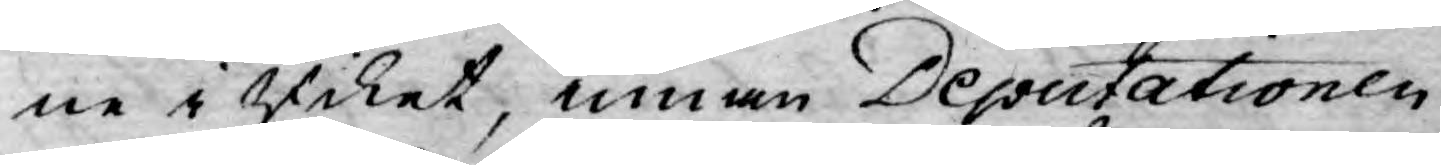ne i Riket, innan Deputationen
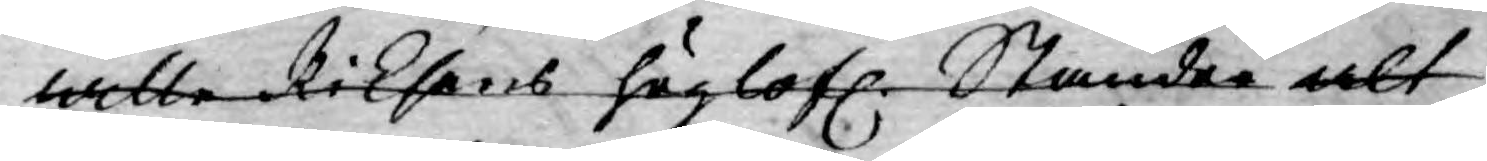wille Riksens höglofl. Ständer alt
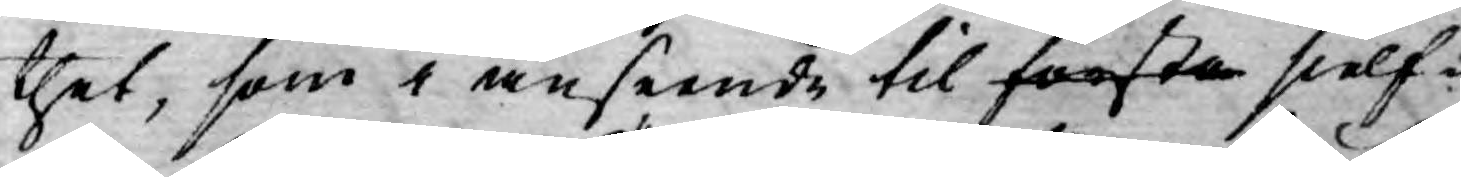thet, som i anseende til första sielf¬
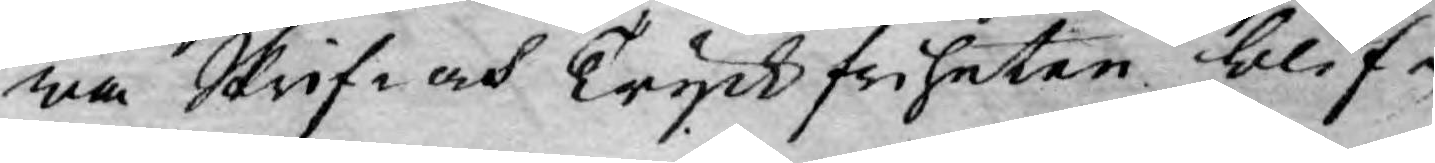wa Skrif- och Tryckfriheten blif¬
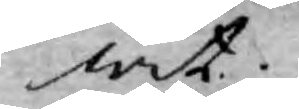wit
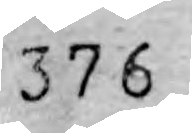376
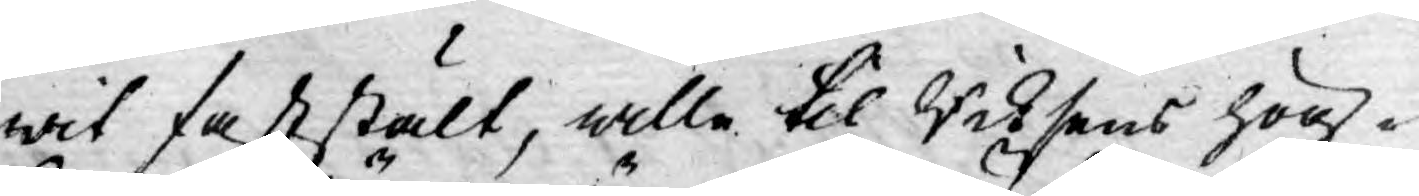wit fastält, wille til Riksens hög¬
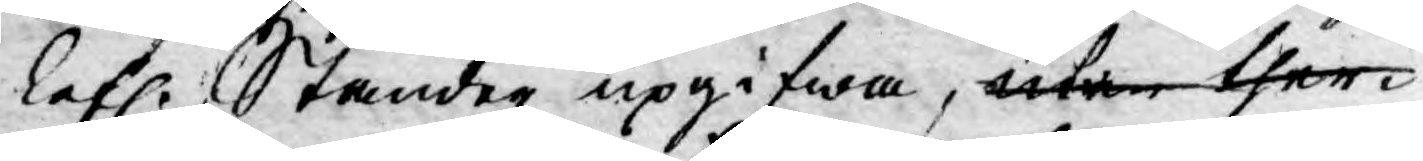lofl. Ständer upgifwa, utan ther¬
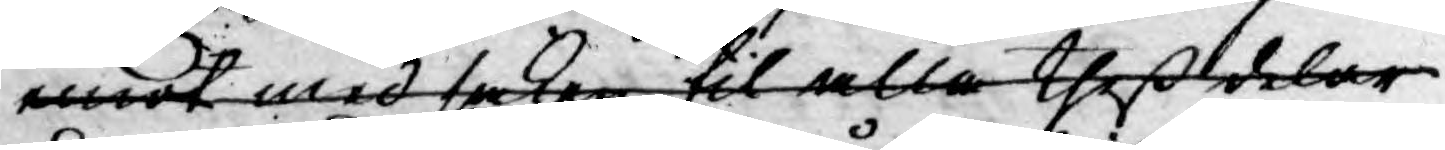emot med saken til alla theß delar
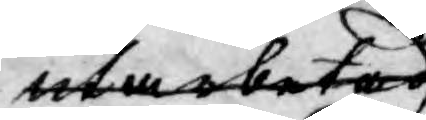utarbeta
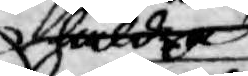häldre
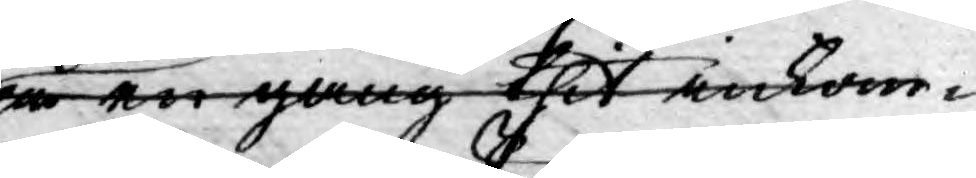på en gång thit inkom¬
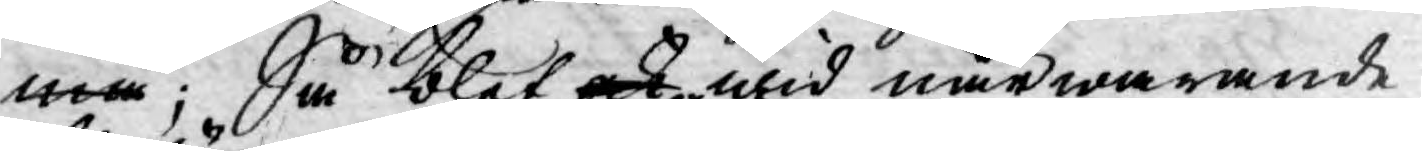ma; Så blef ock wid närwarande
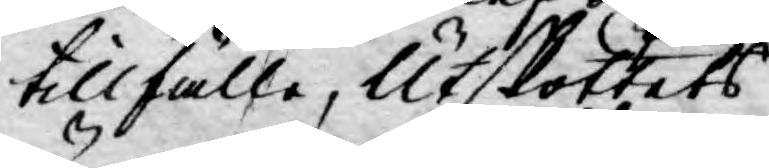tillfälle, Utskottets
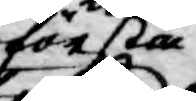första
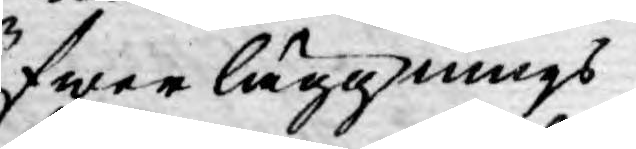öfwerläggnings
